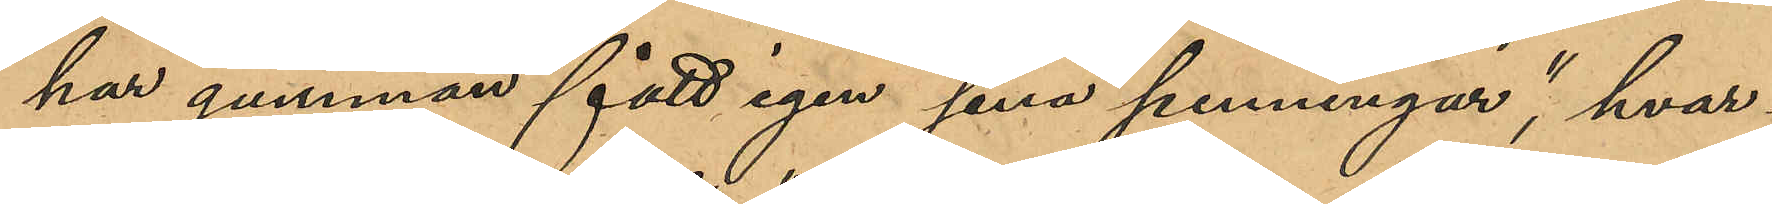"har gumman fått igen sina penningar", hvar¬
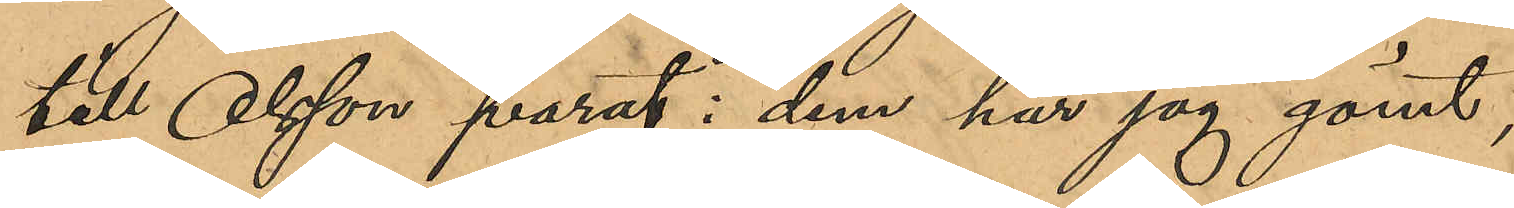till Olsson svarat: "dem har jag gömt";
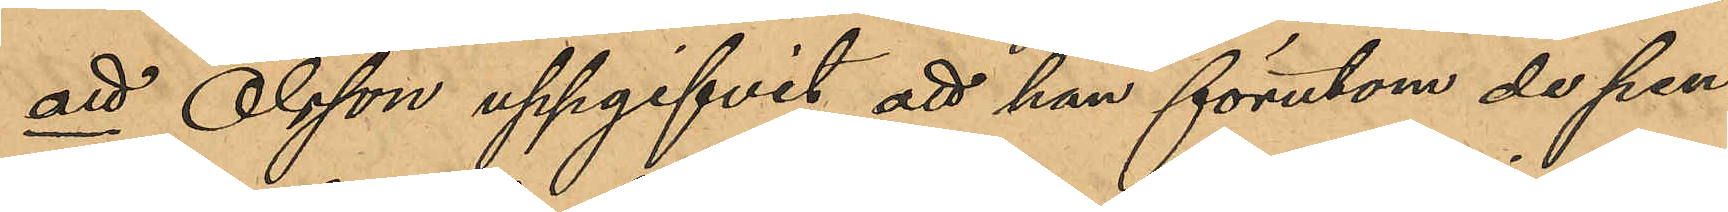att Olsson uppgifvit att han förutom de pen¬
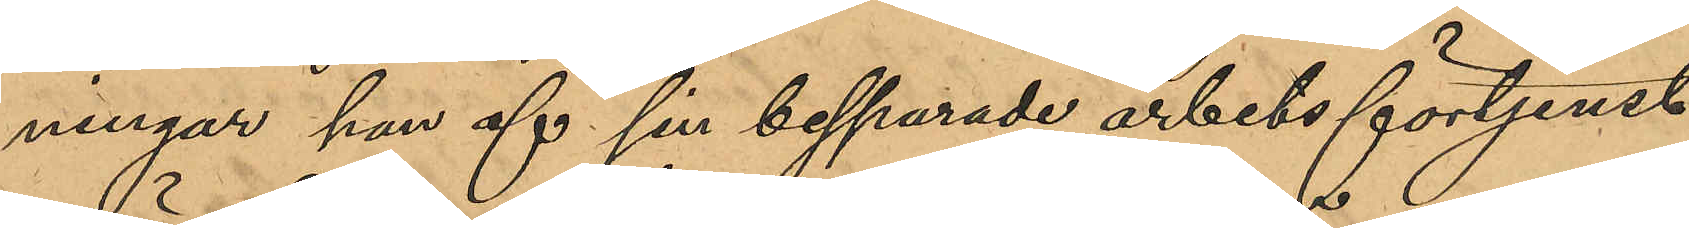ningar af sin besparade arbetsförtjenst
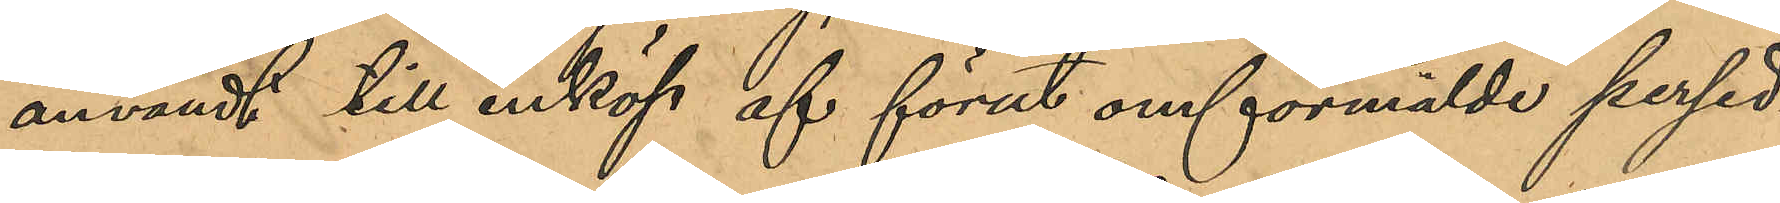använt till inköp af förut omförmälde persed¬
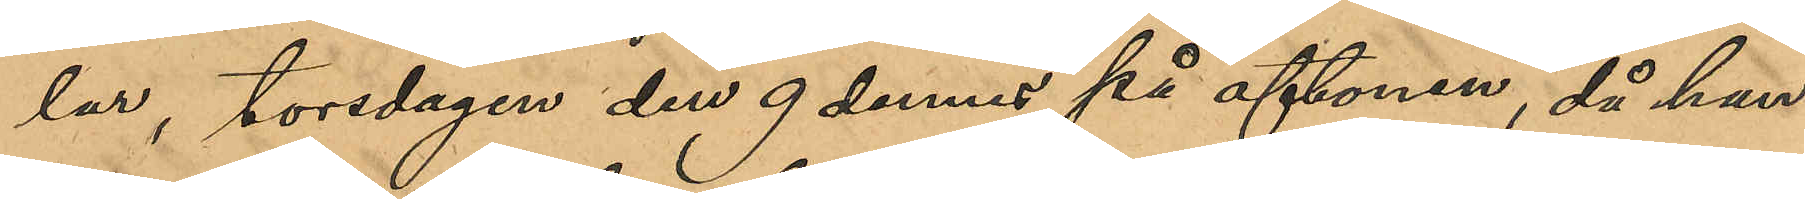lar, torsdagen den 9 dennes på aftonen, då han
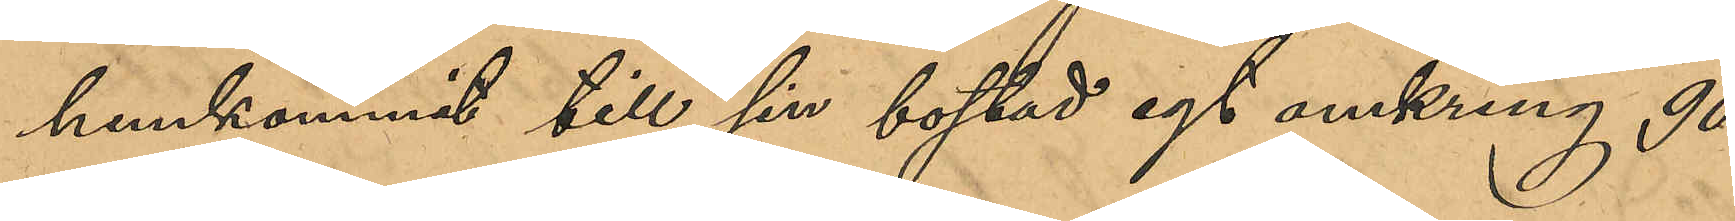hemkommit till sin bostad egt omkring 90
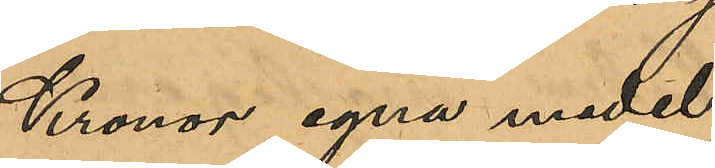Kronor egna medel;
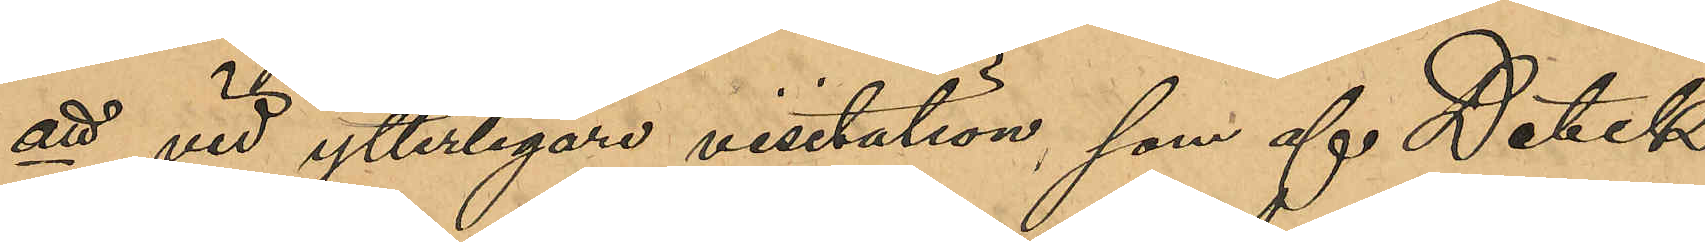att vid ytterligare visitation som af Detek¬
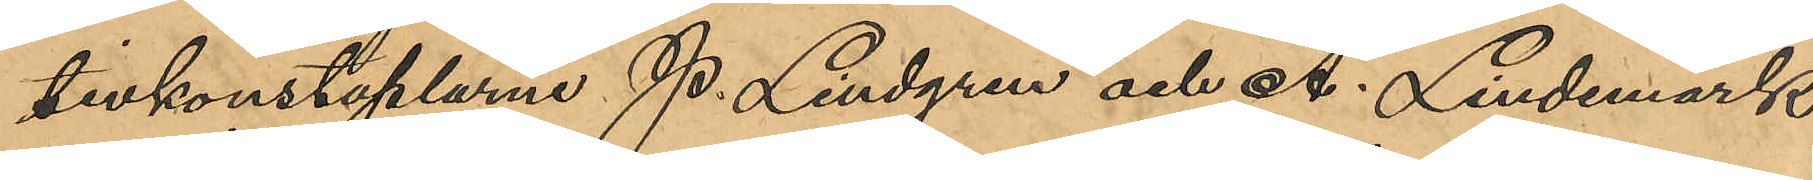tivkonstaplarne P. Lindgren och A. Lindemark
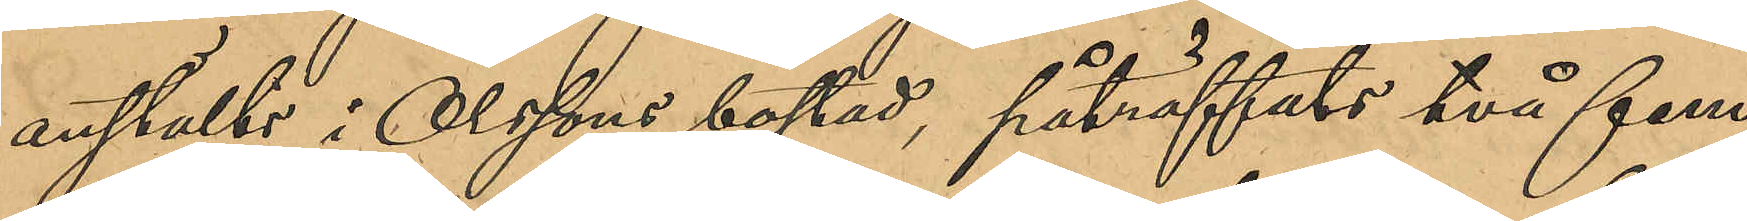anstälts i Olssons bostad, påträffats två fem¬
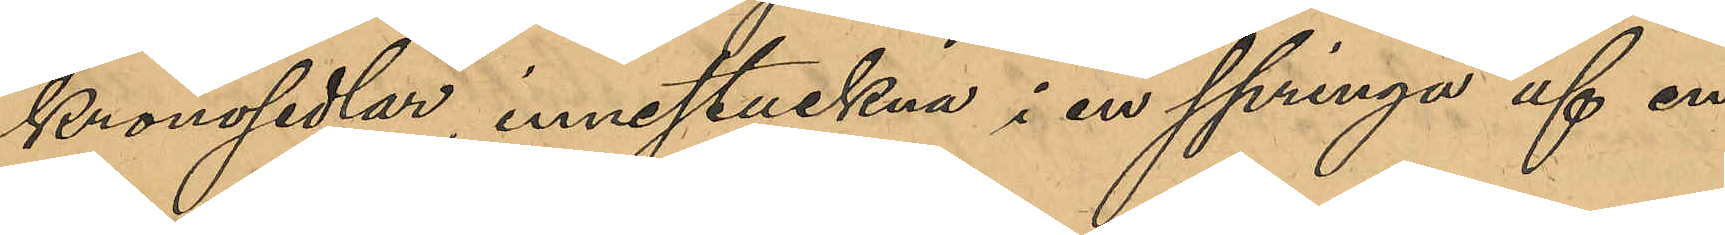kronosedlar, innestuckna i en springa af en
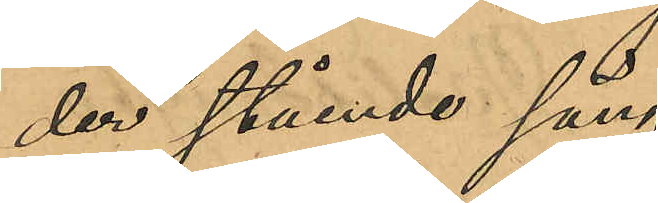der stående säng,
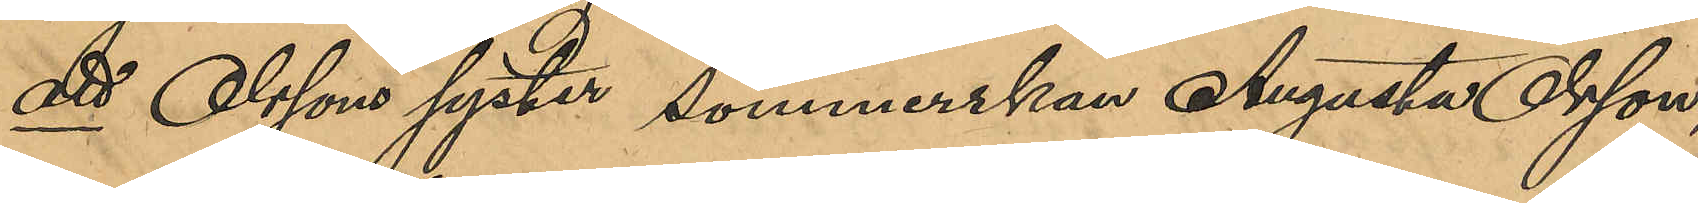att Olssons syster sömmerskan Augusta Olsson,
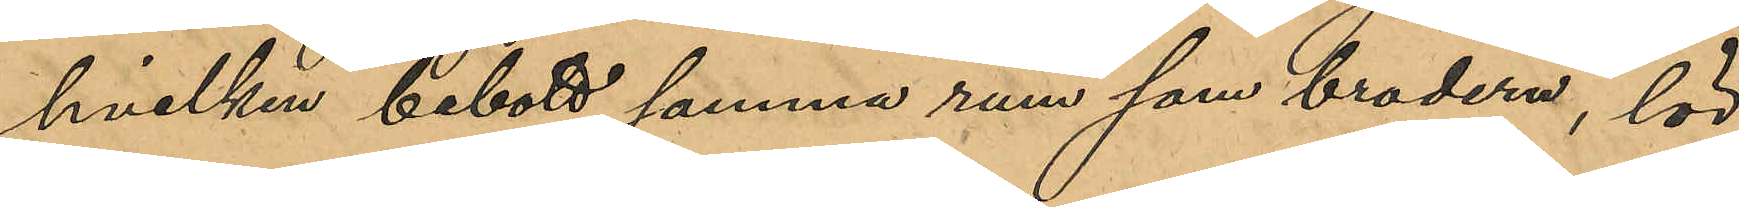hvilken bebott samma rum som brodern, lör¬
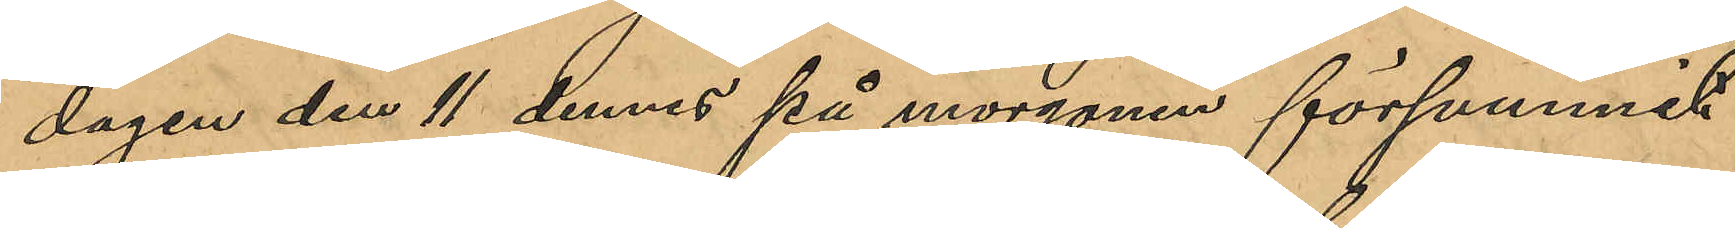dagen den 11 dennes på morgonen försvunnit
